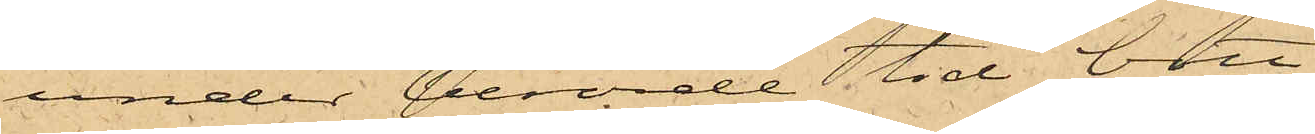under berörde tid bott
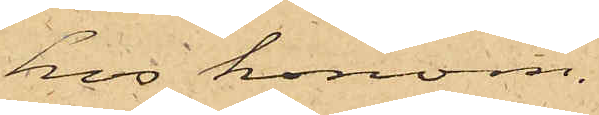hos honom.
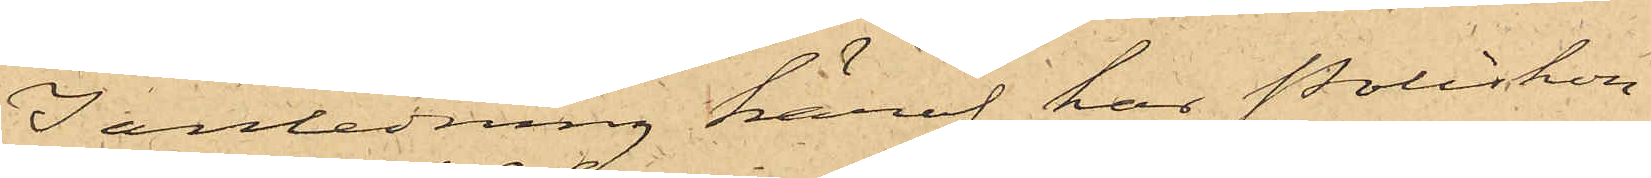I anledning häraf har Poliskon¬
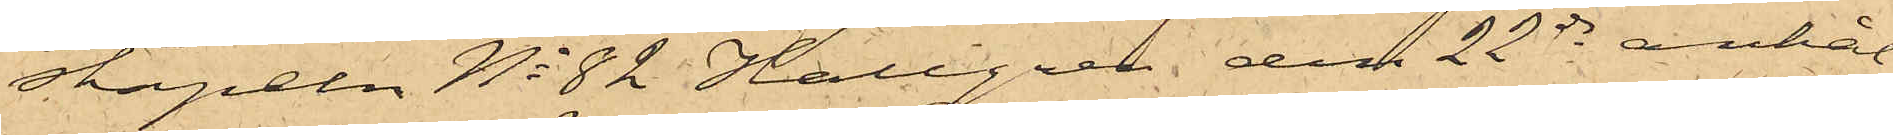stapeln No 82 Hallgren den 22 ds anhål¬
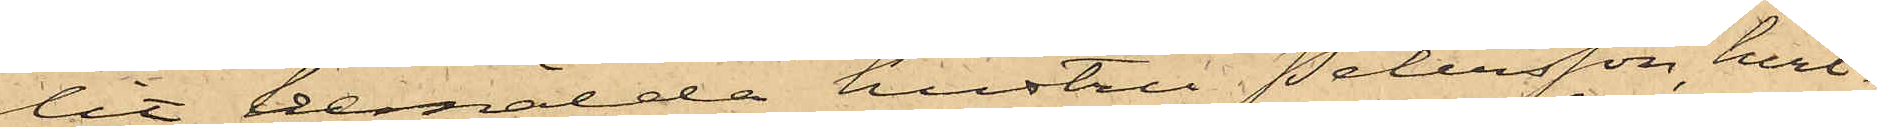lit bemälda hustru Petersson, hvil¬
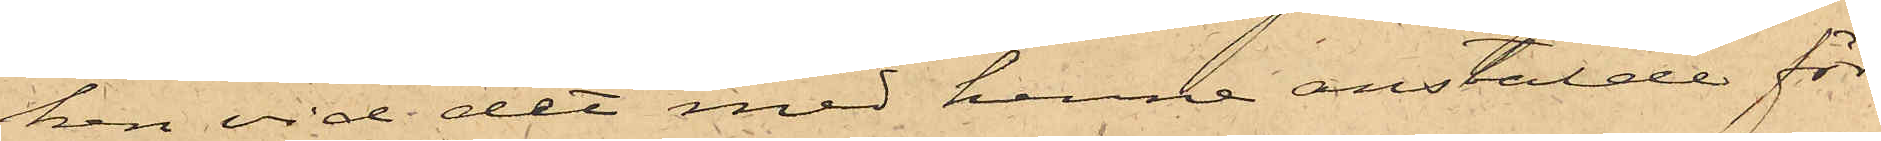ken vid det med henne anstälde för¬
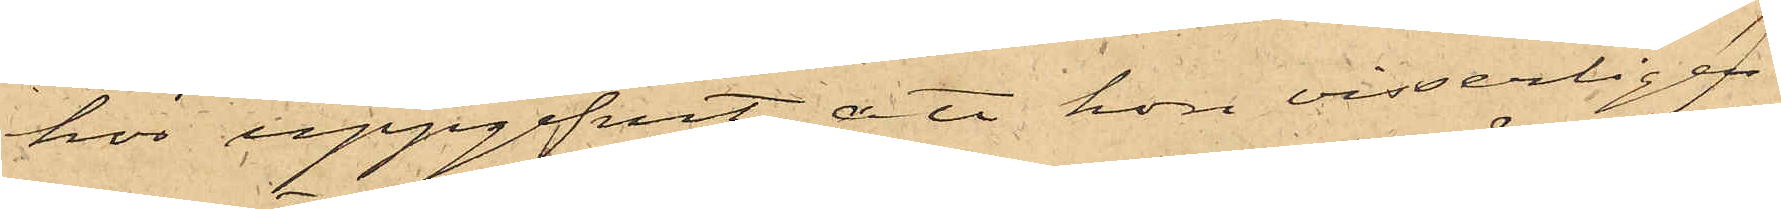hör uppgifvit, att hon visserligen
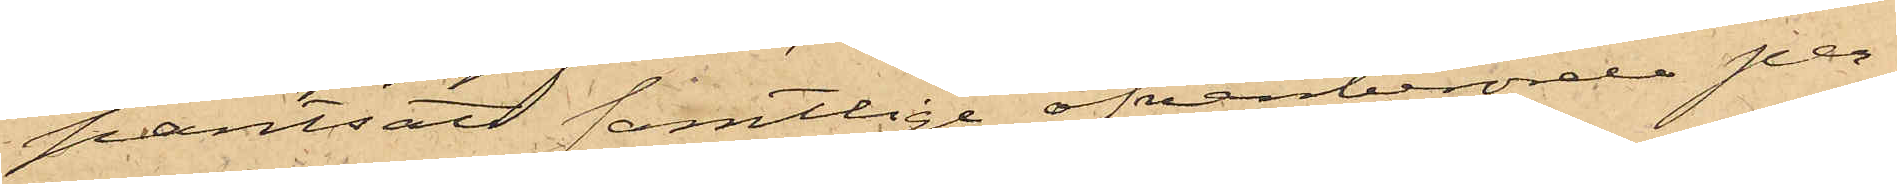pantsatt samtlige ofvanberörde per¬
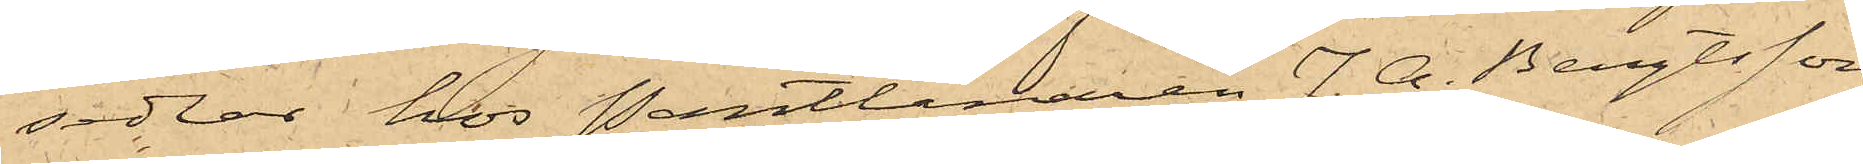sedlar hos Pantlånaren J. A. Bengtsson
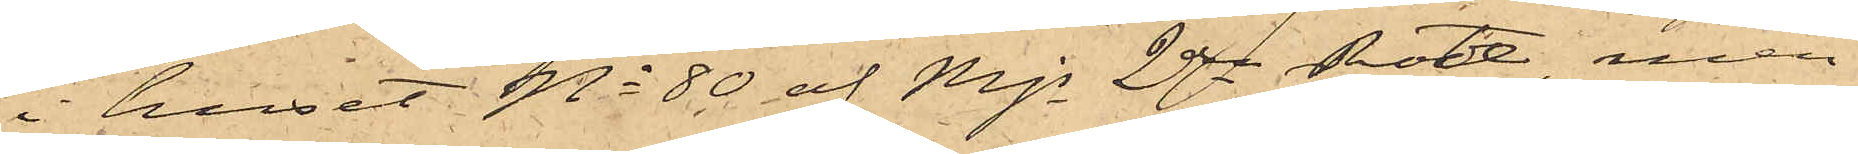i huset No 80 af Mjs 2dra Rote, men
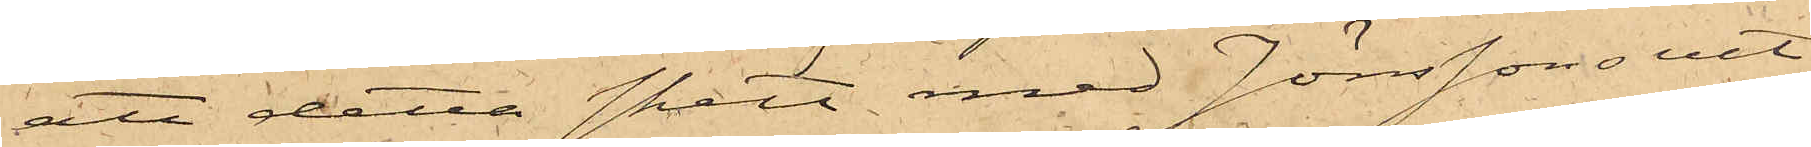att detta skett med Jönssons vet¬
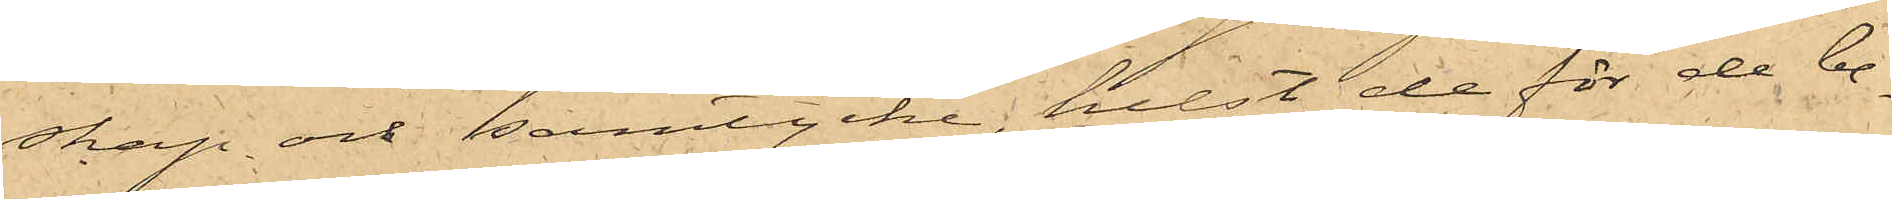skap och samtycke, helst de för de be¬
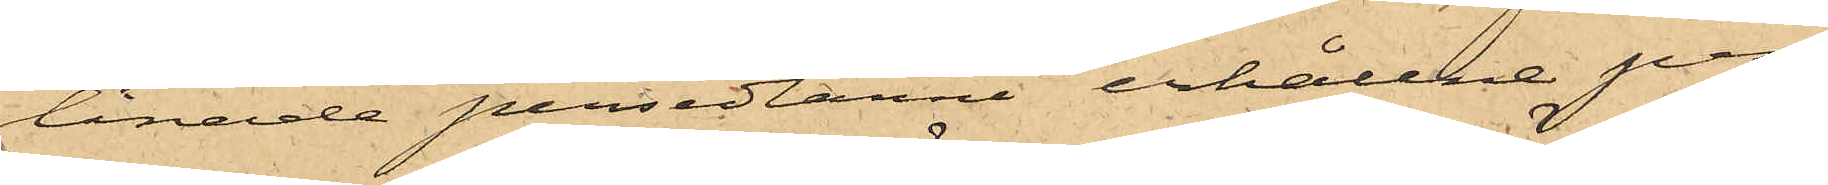lånade persedlarne erhållne pen¬
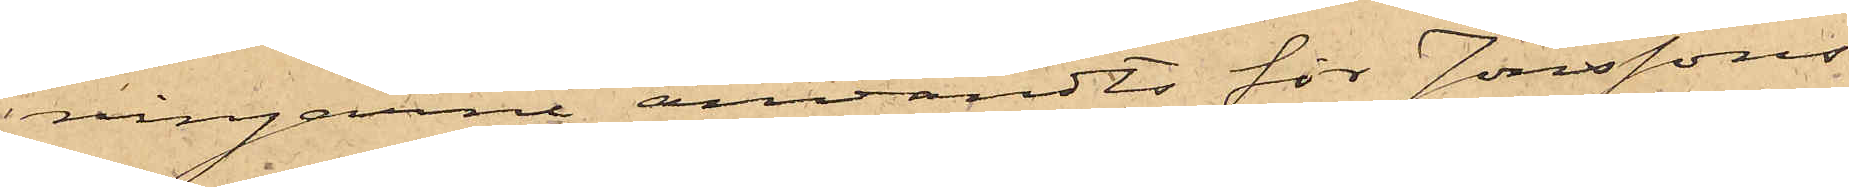ningarne användts för Jönssons
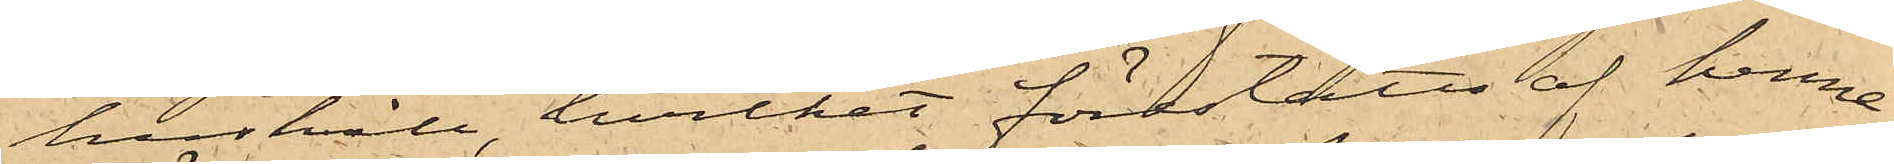hushåll, hvilket föreståtts af henne
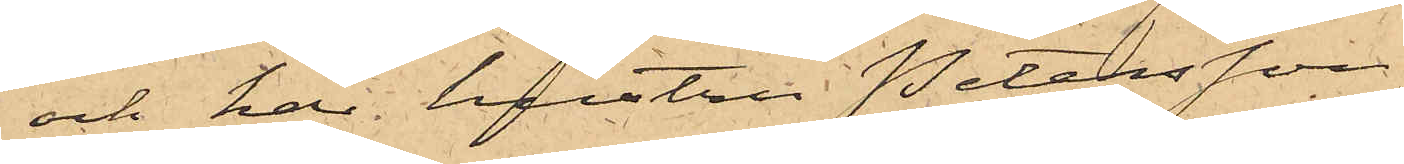och har hustru Petersson
